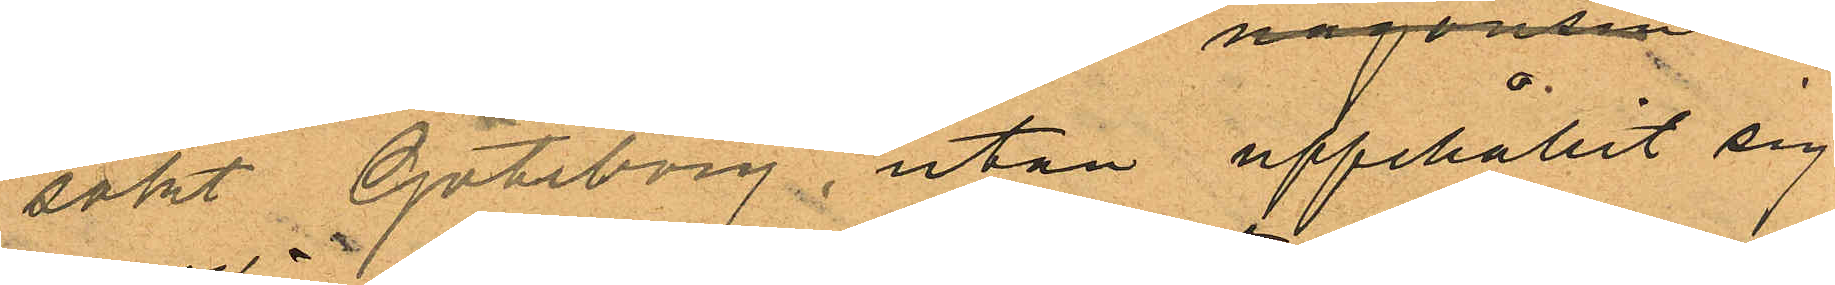sökt Göteborg, utan upphållit sig
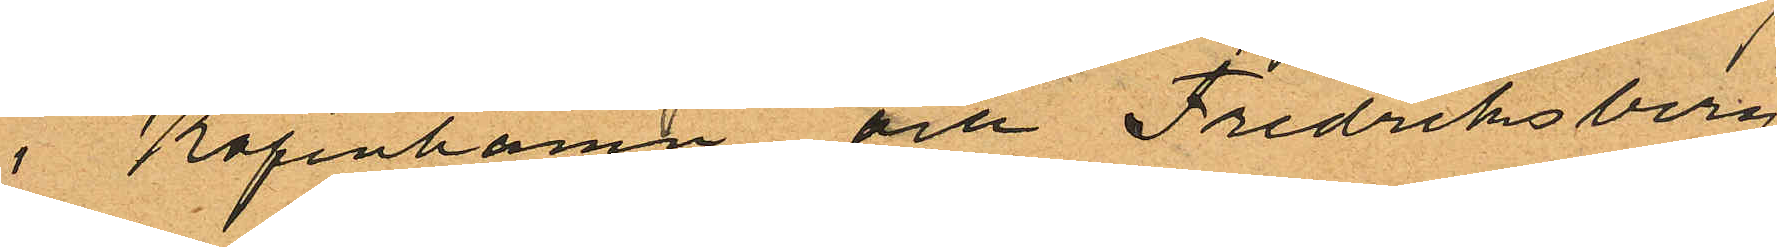i Köpenhamn och Fredriksberg
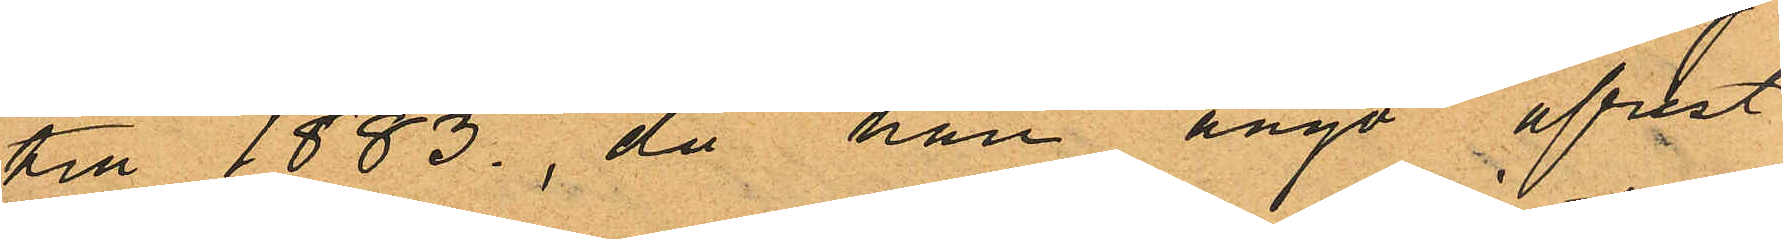till 1883. då han ånyo afrest
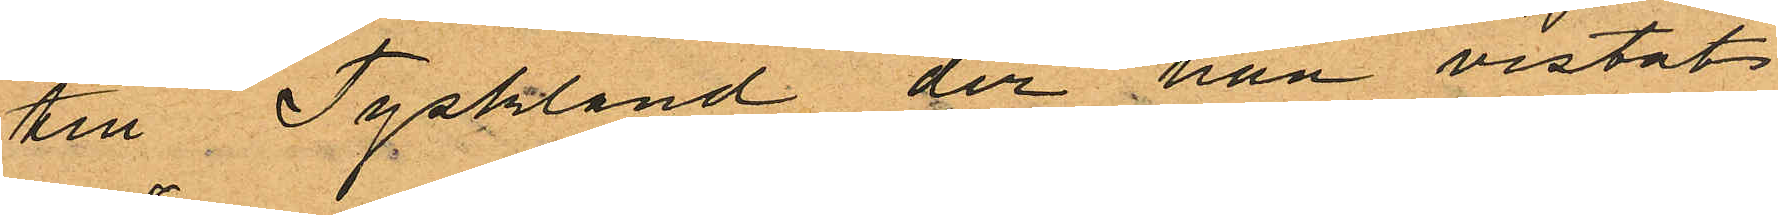till Tyskland der han vistats
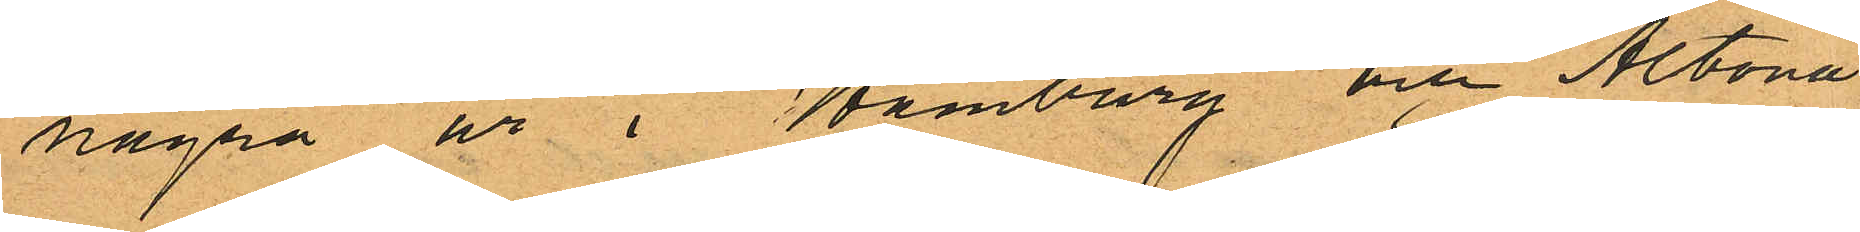några år i Hamburg och Altona;
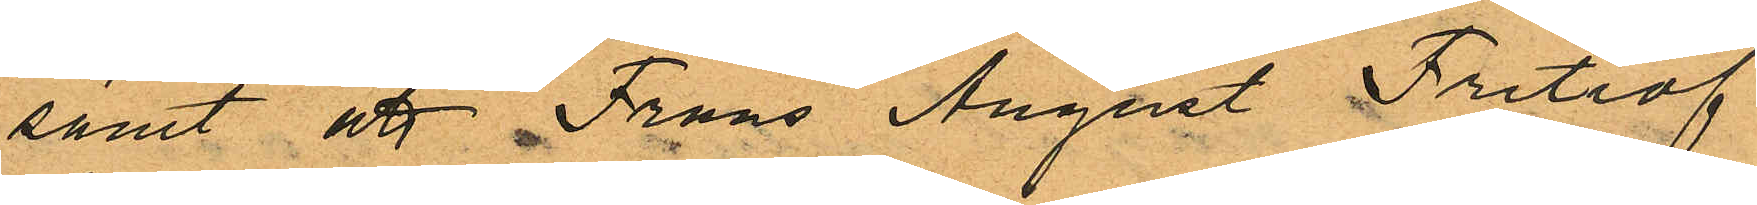samt att Frans August Fritiof
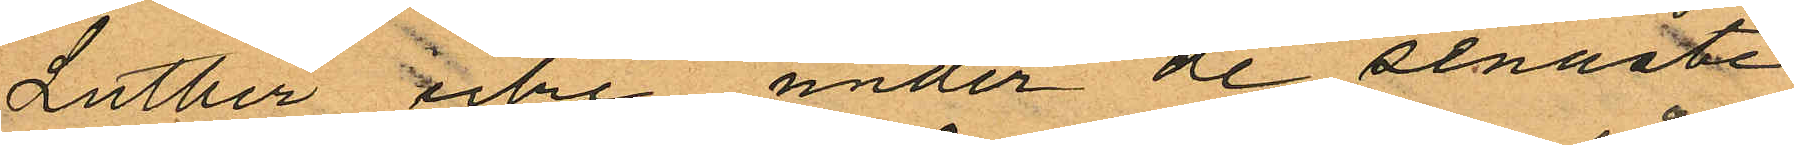Luther icke under de senaste
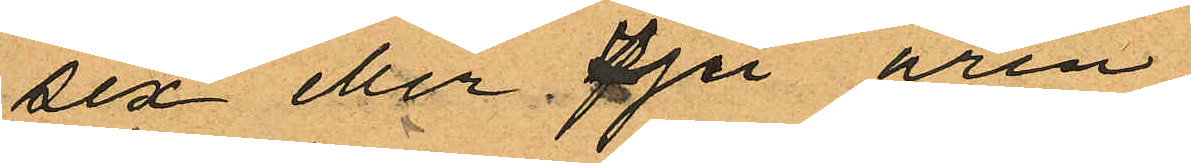sex eller sju åren
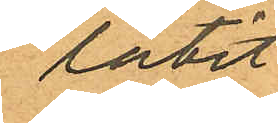låtit
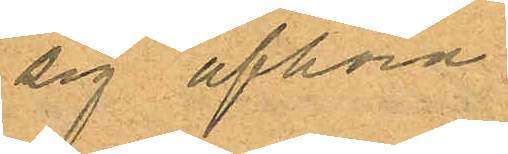sig afhöra.
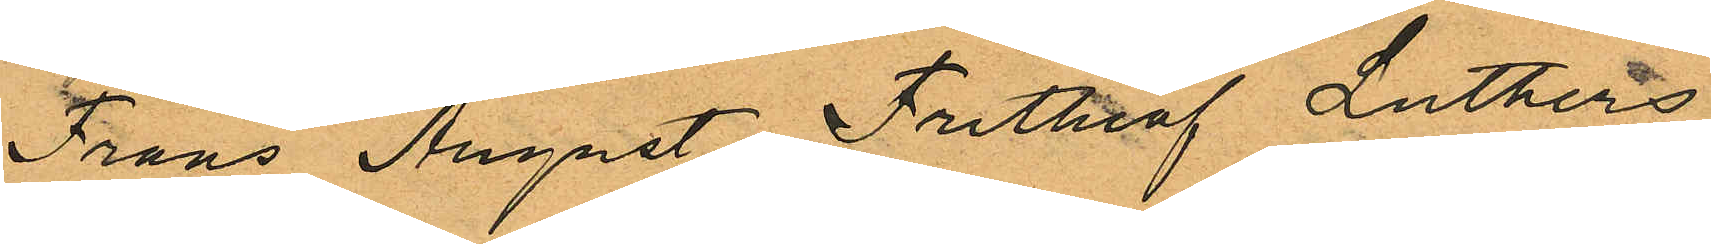Frans August Frithiof Luthers
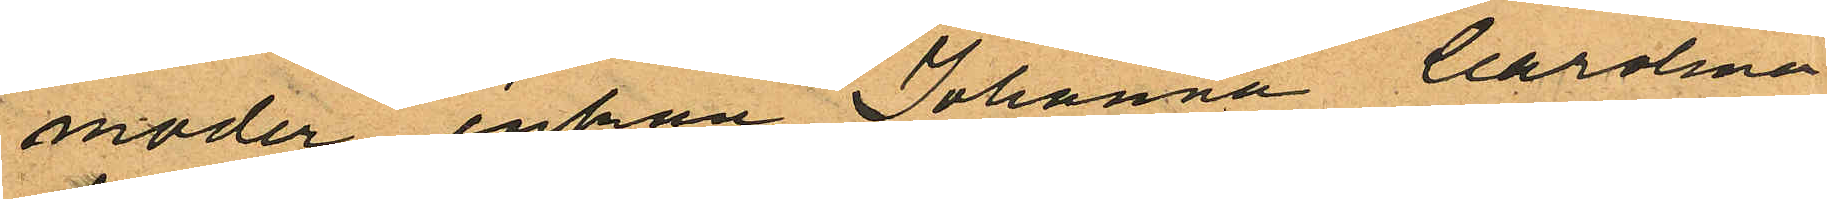moder enkan Johanna Carolina
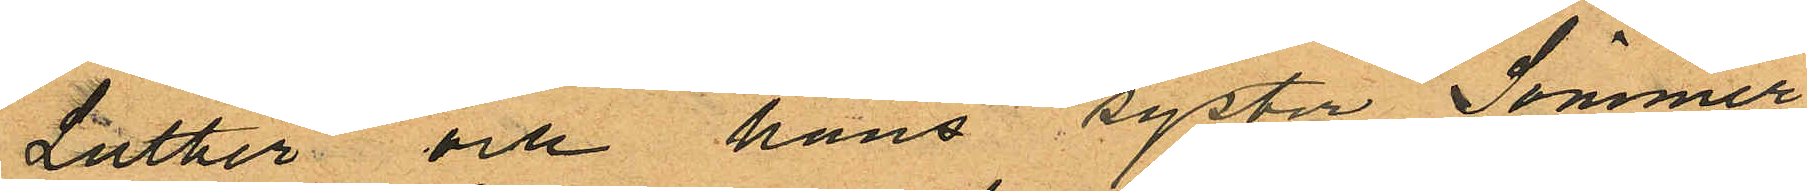Luther och hans syster Sömmer¬
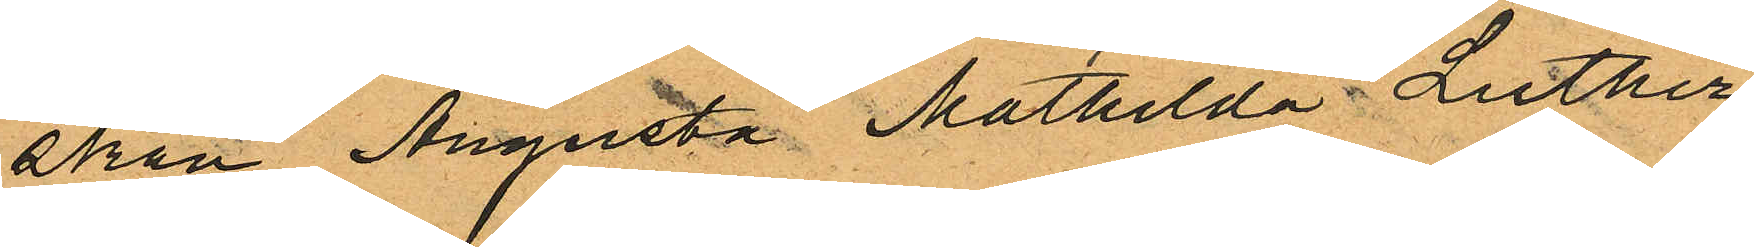skan Augusta Mathilda Luther
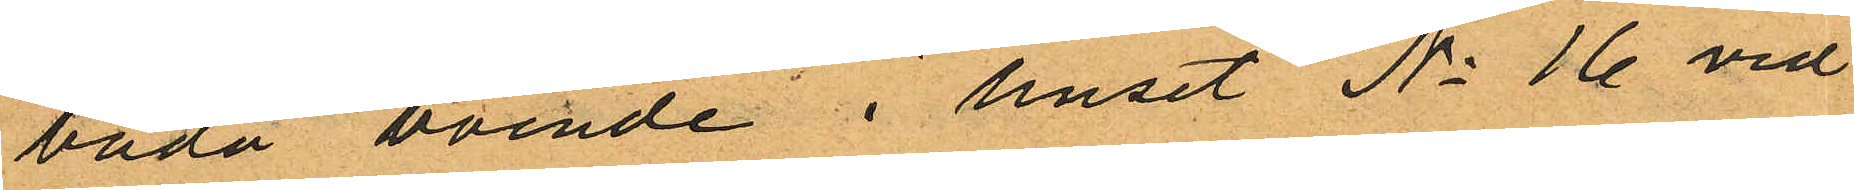bada boende i huset No 16 vid
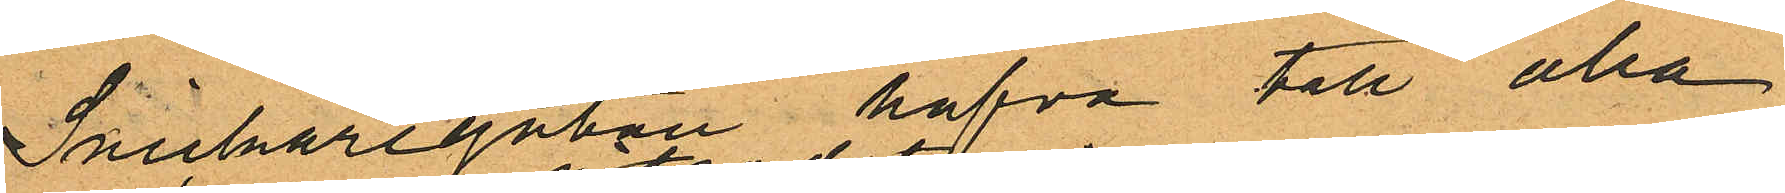Snickaregaten hafva till alla
